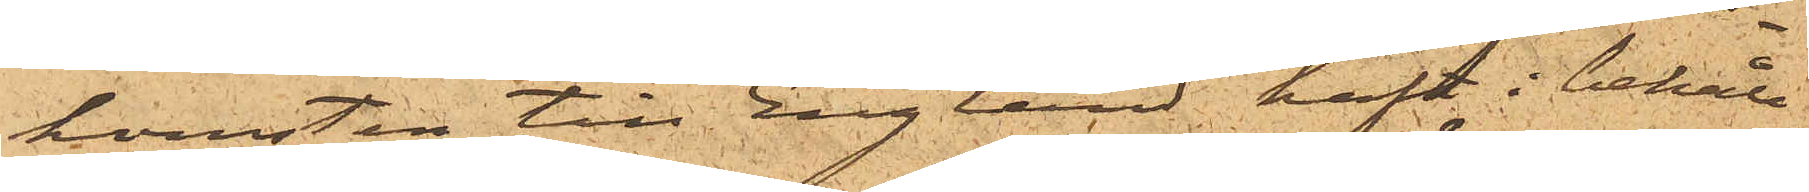komsten till England haft i behåll
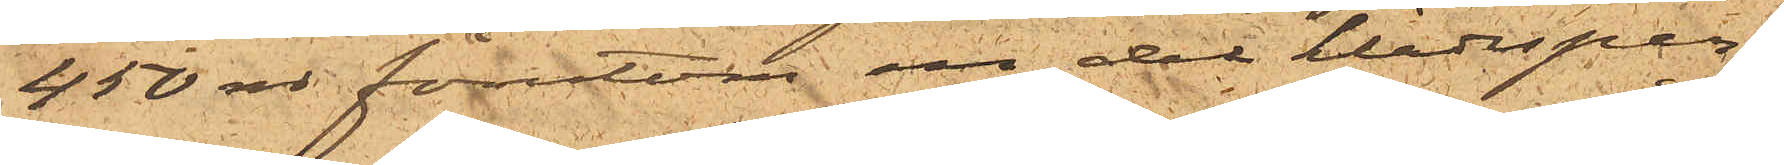450 rdr förutom en del klädesper¬
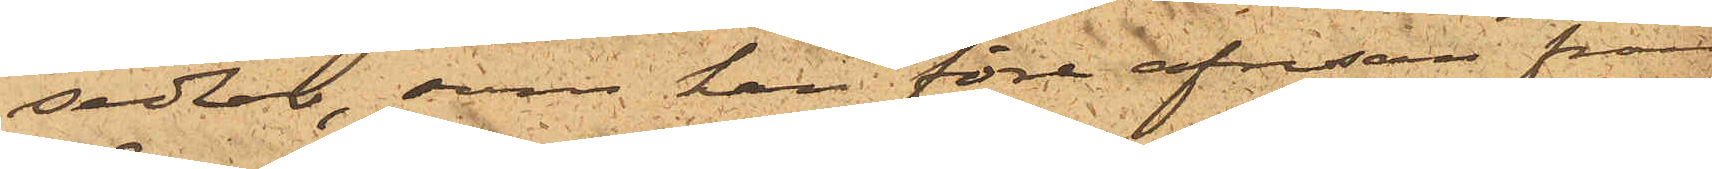sedlar, som han före afresan från
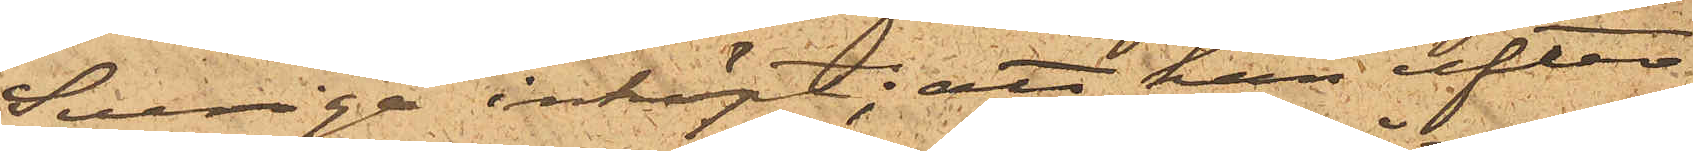Sverige inköpt; att han efter
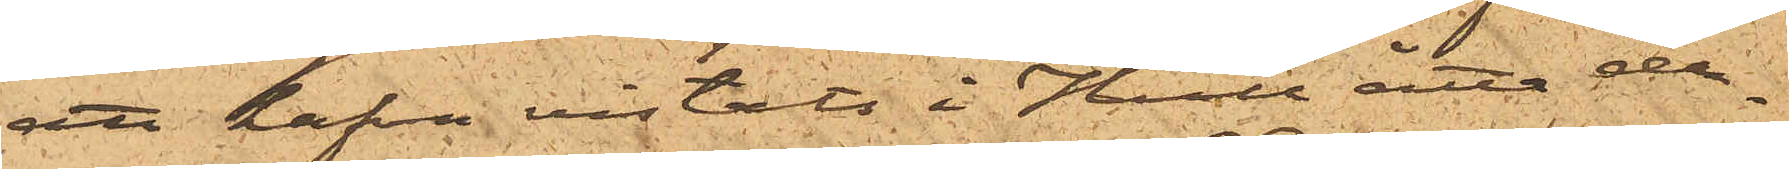att hafva vistats i Hull åtta da¬
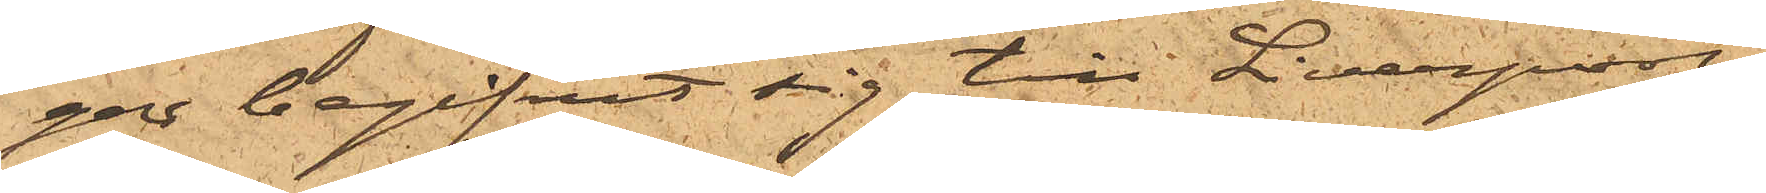gar begifvit sig till Liverpool
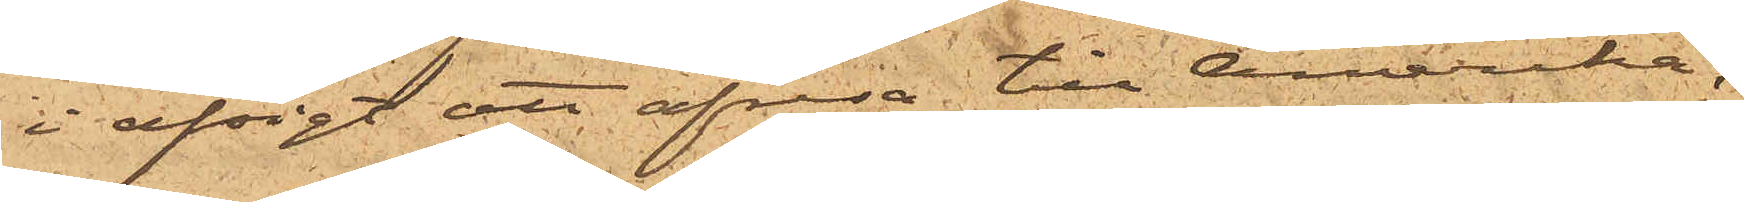i afsigt att afresa till Amerika,
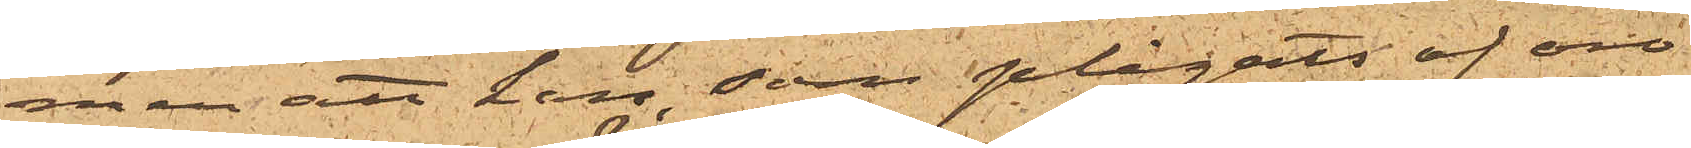men att han, som plågats af oro
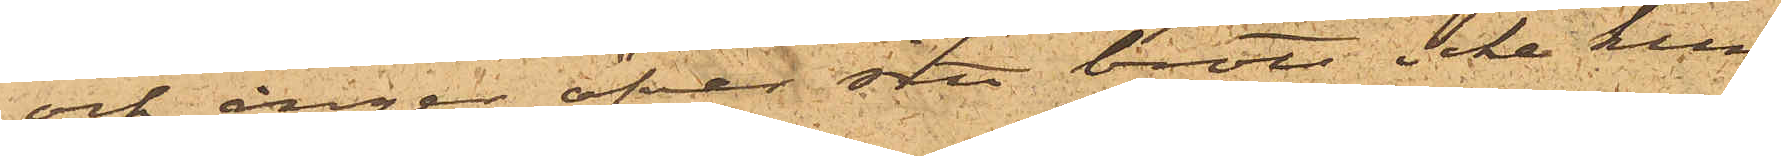och ånger öfver sitt brott icke kun¬
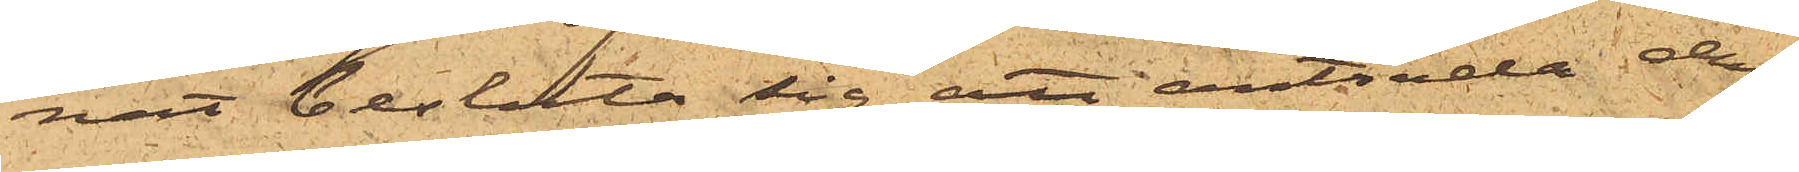nat besluta sig att anträda den¬
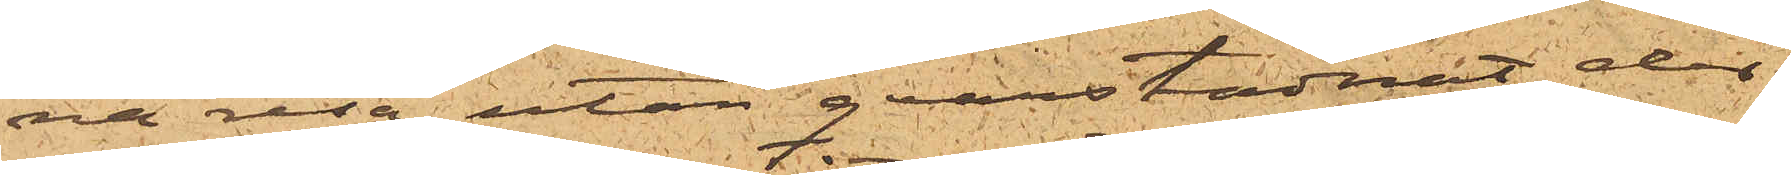na resa, utan qvarstannat der
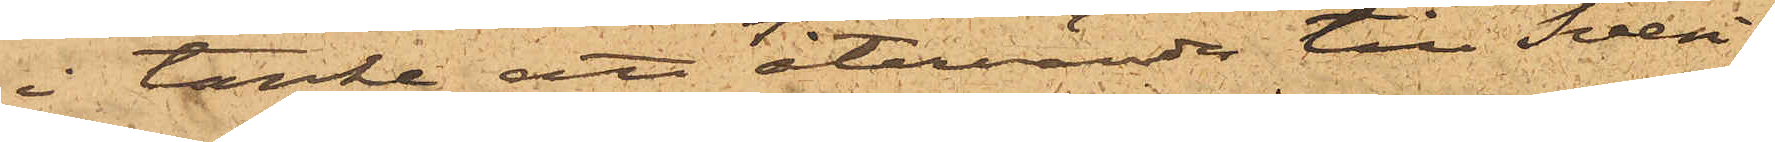i tanke att återvända till Sveri¬
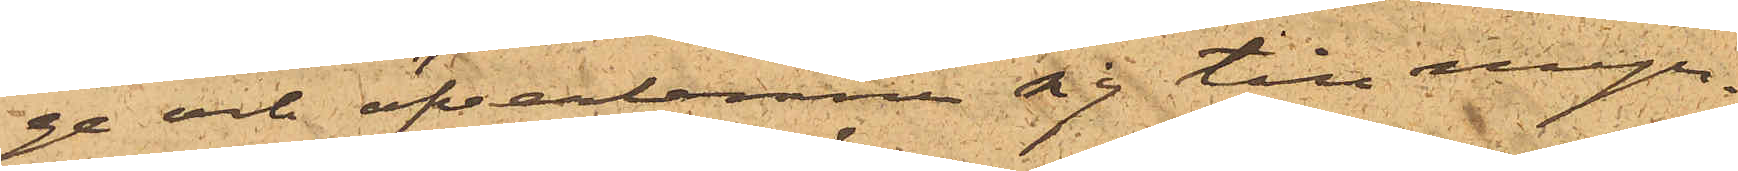ge och öfverlemna sig till myn¬
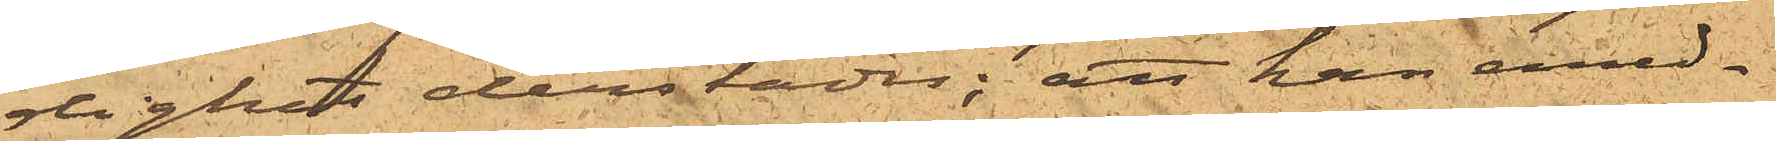dighet derstädes; att han emed¬
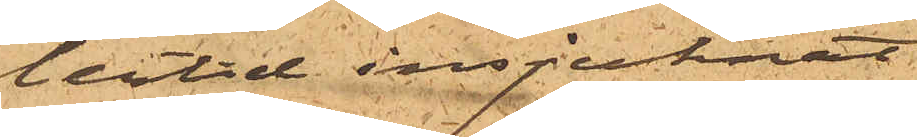lertid insjuknat
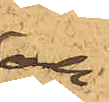och
